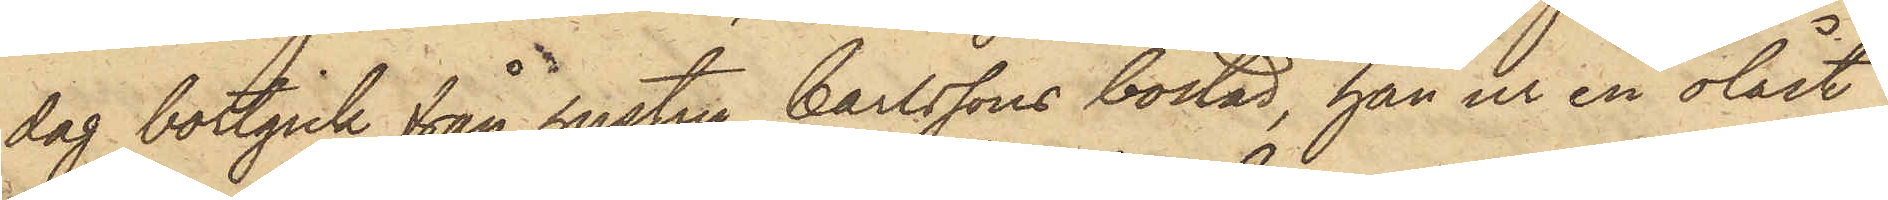dag bortgick från hustru Carlssons bostad, han ur en olåst
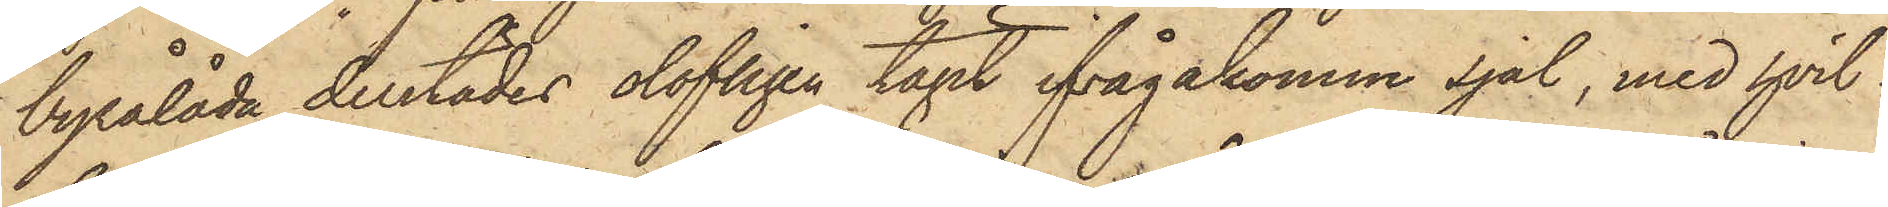byrålåda derstädes olofligen tagit ifrågakomne sjal, med hvil¬
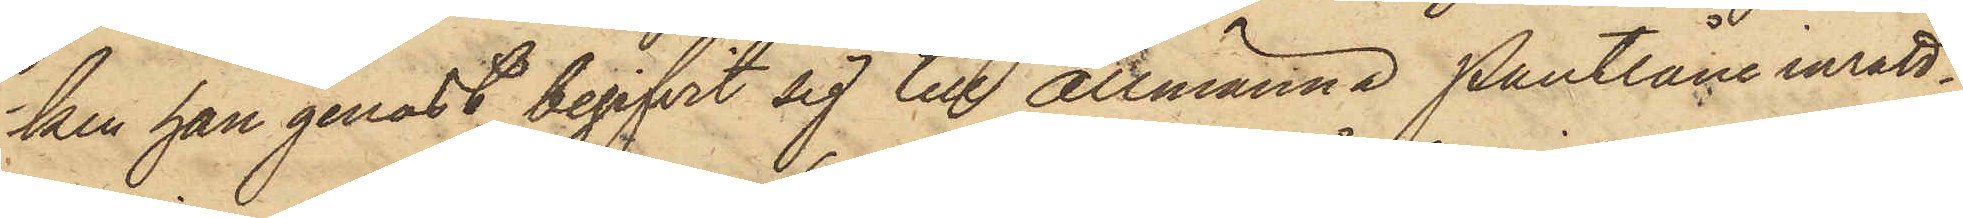ken han genast begifvit sig till Allmänna Pantlåne inrätt¬
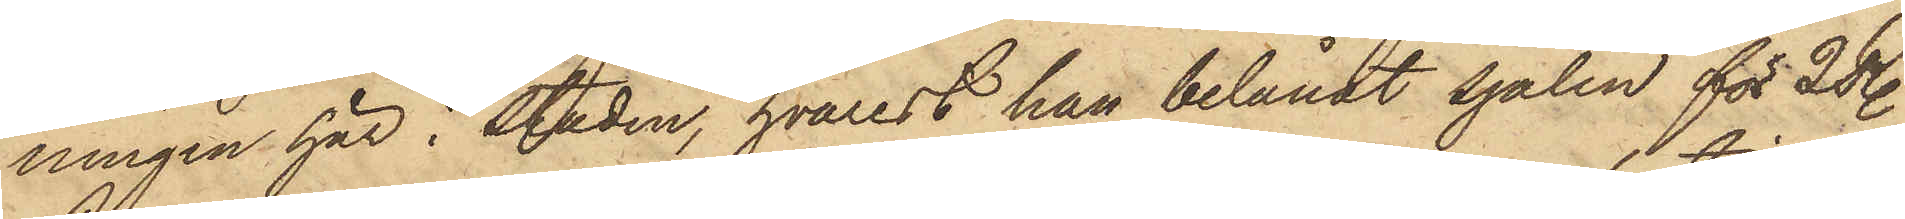ningen här i staden, hvarest han belånat sjalen för 2 R.
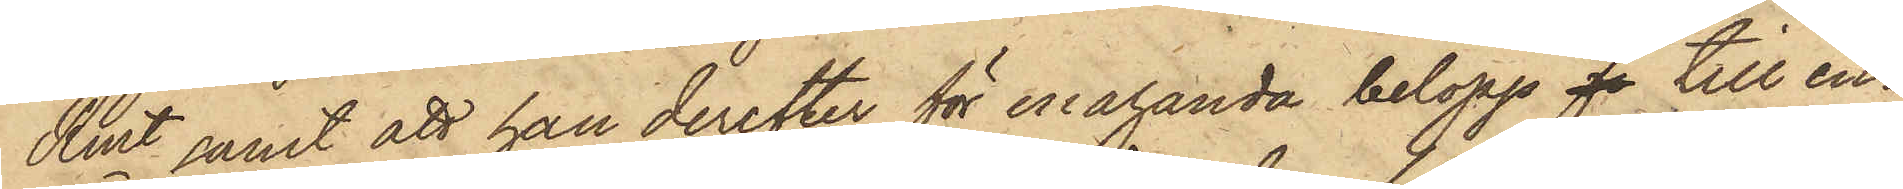Rmt samt att han derefter för enahanda belopp fo till en¬
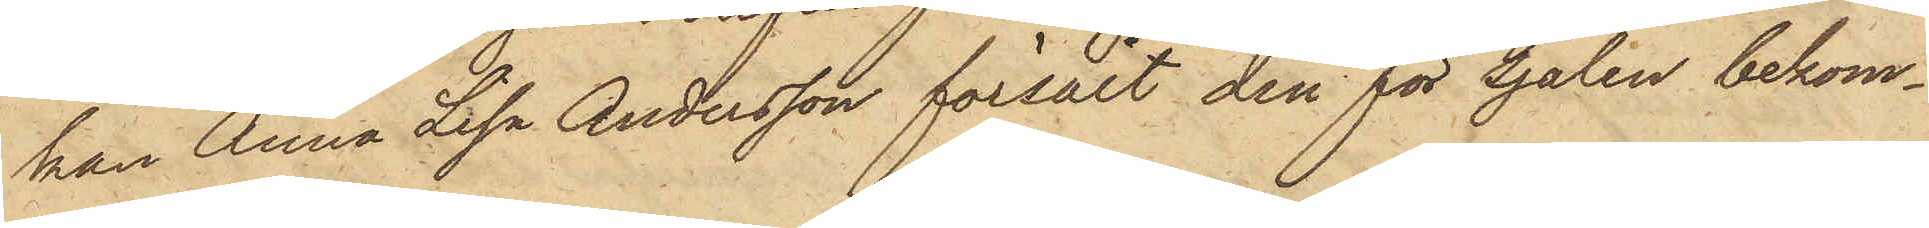kan Anna Lisa Andersson försålt den för sjalen bekom¬
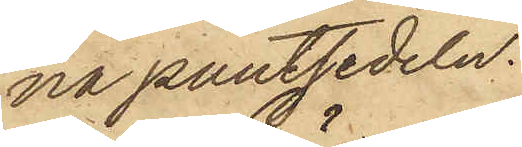na pantsedeln.
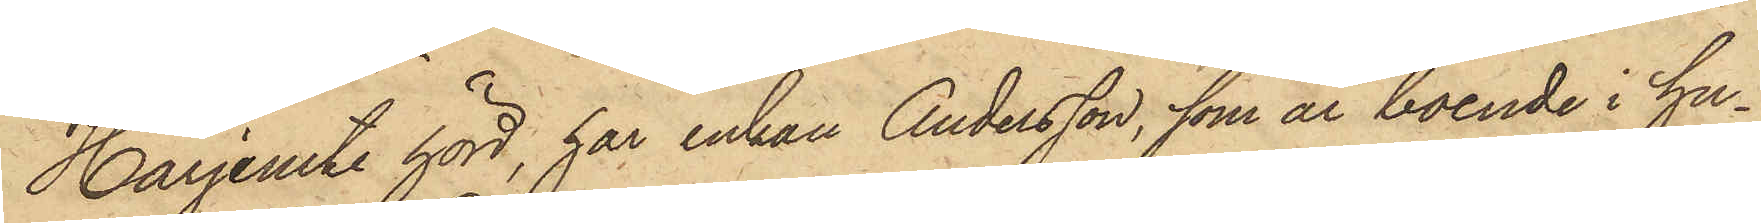Harjemte hörd, har enkan Andersson, som är boende i hu¬
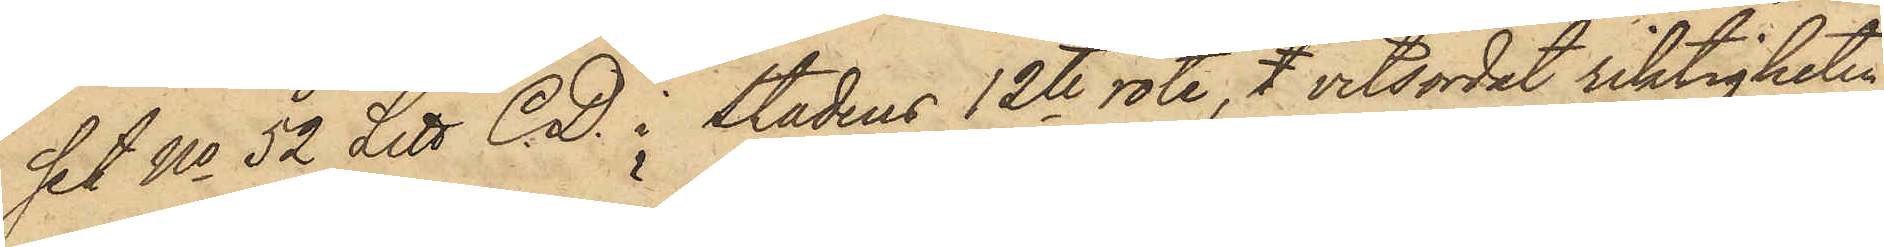set No 52 Litt C.D. i stadens 12te rote, t vitsordat riktigheten
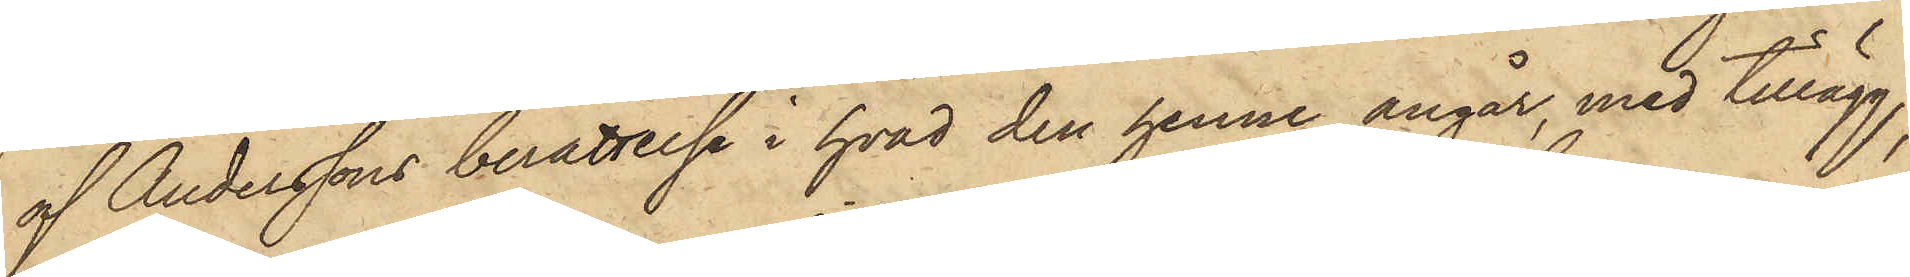af Anderssons berättelse i hvad den henne angår, med tillägg,
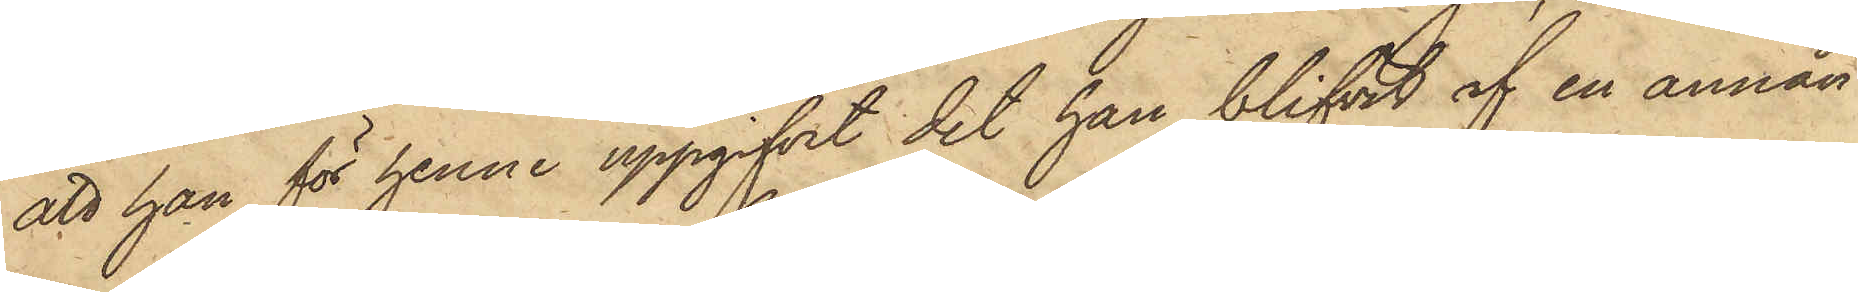att han för henne uppgifvit det han blifvit af en annan
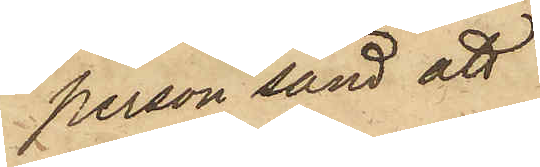person sänd att
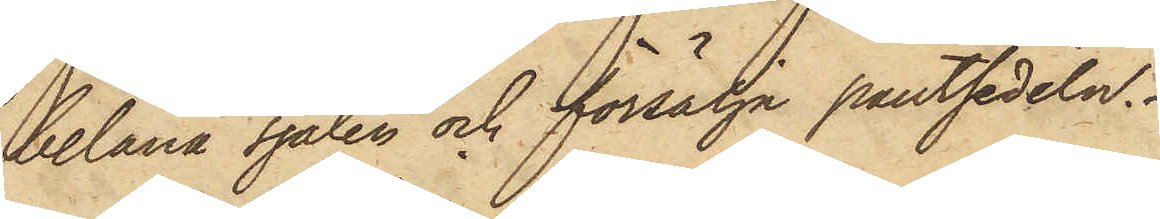belåna sjalen och försälja pantsedeln.
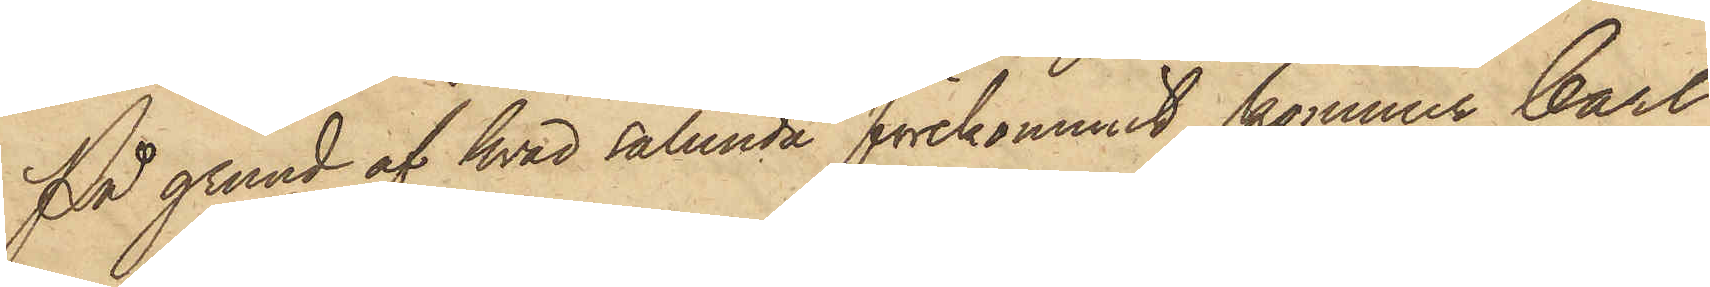På grund af hvad sålunda förekommit, kommer Carl
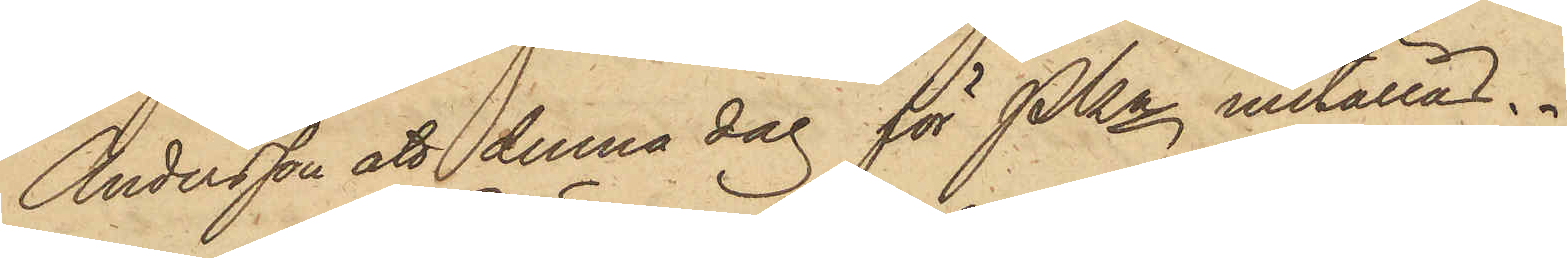Andersson att denna dag för PKn inställas.
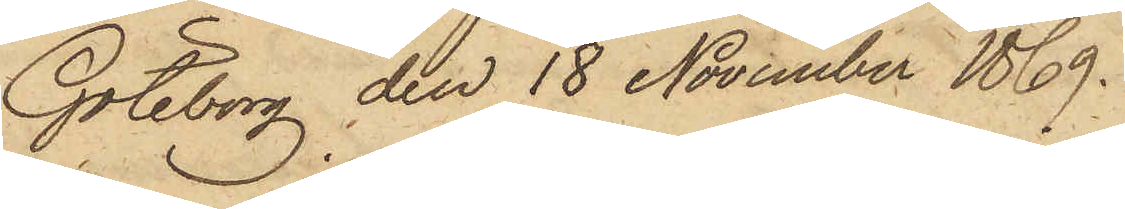Göteborg den 18 November 1869.
